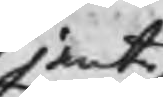jemte
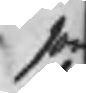so
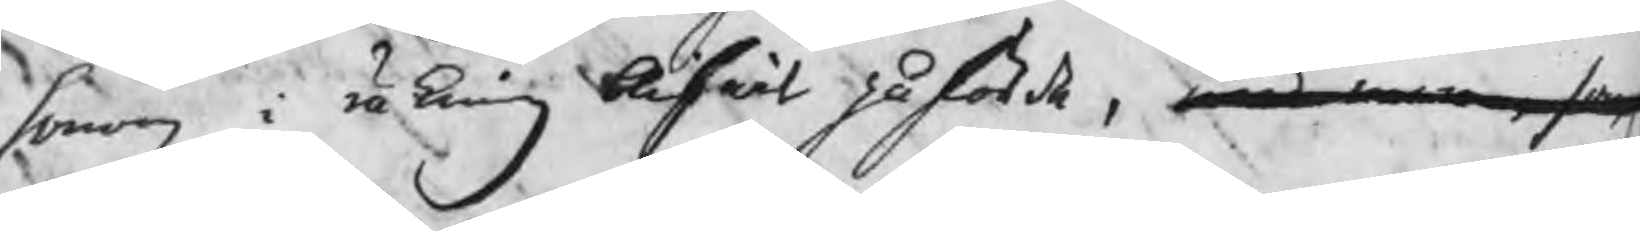honom i räkning blifwit påförde, med mera, som
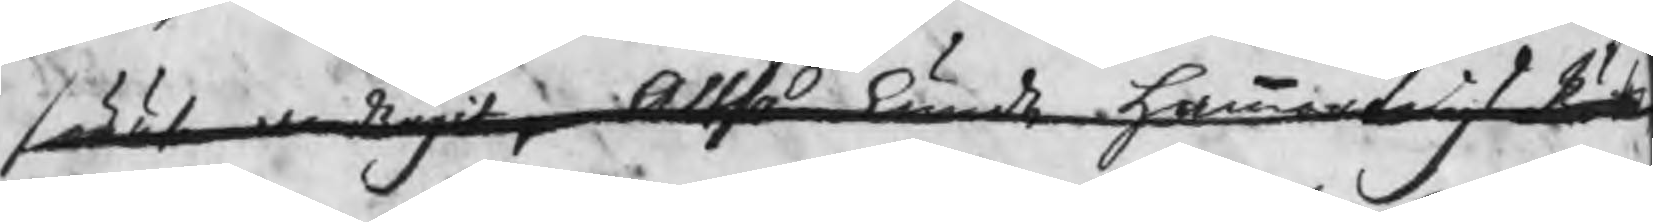förut andragits, Altså kunde HammartingsRät¬
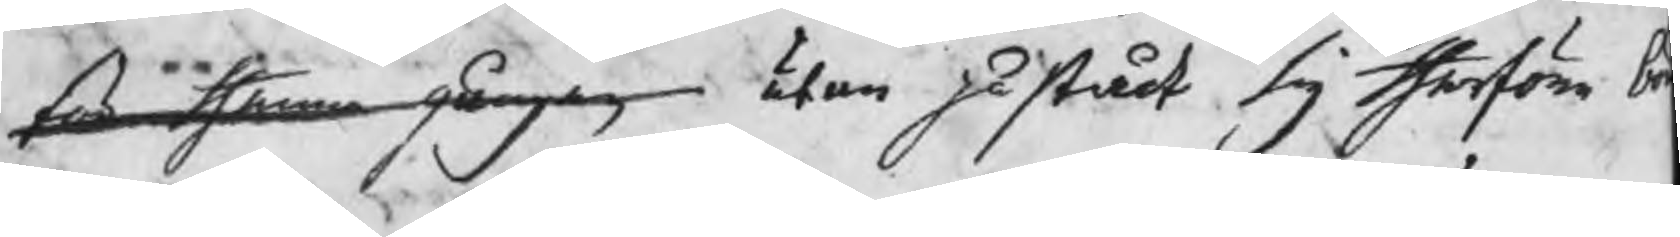ten thenna gången utan påstådt sig therföre b
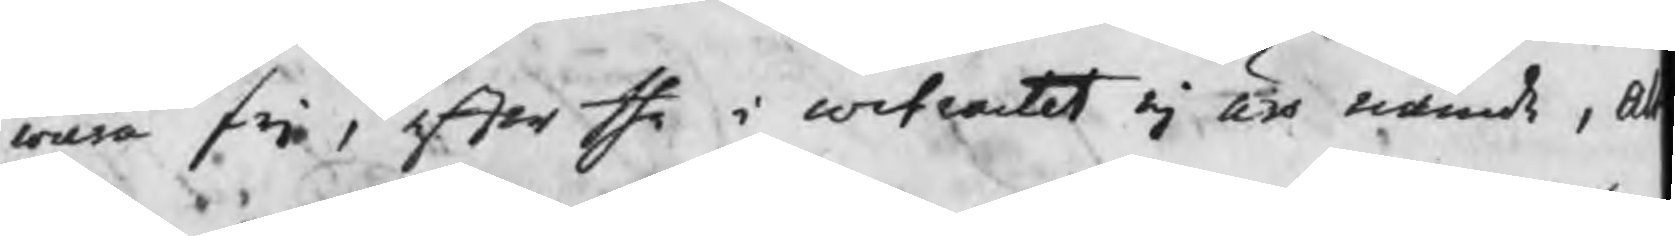wara fri, efter the i contractet ej äro nämde, A
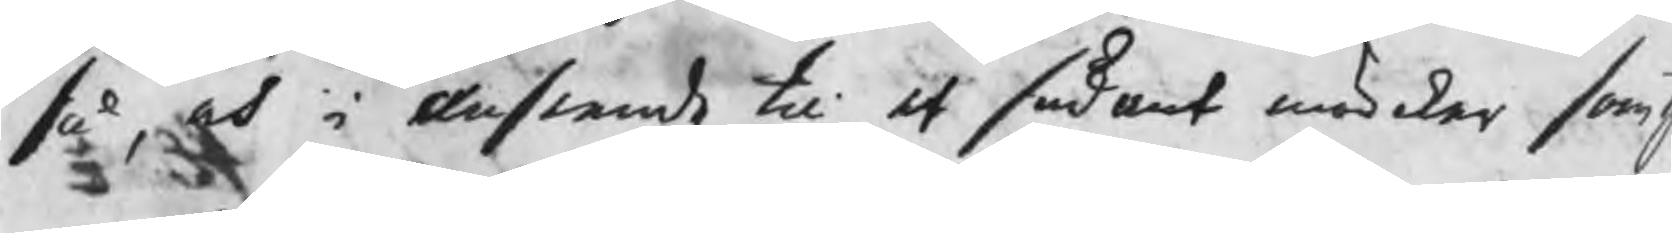så, och i anseende til at sådant mörker som t
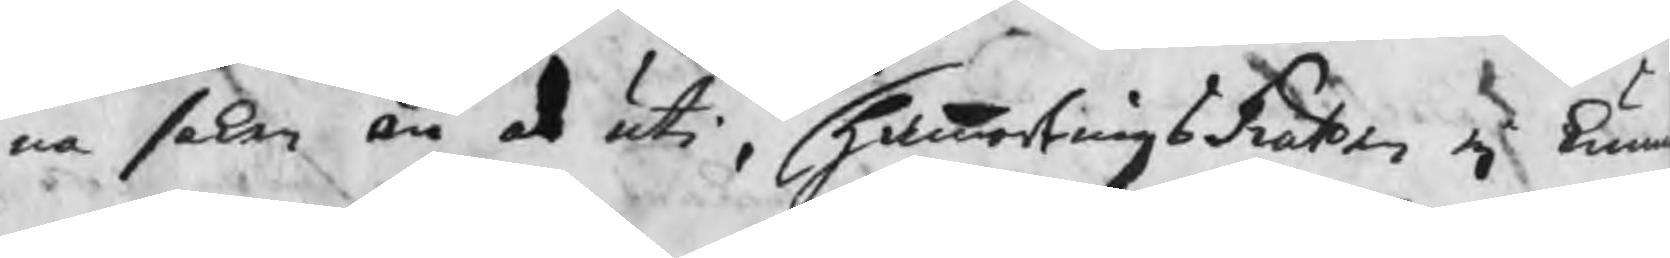na saken än är uti, HammartingsRätten ej kun
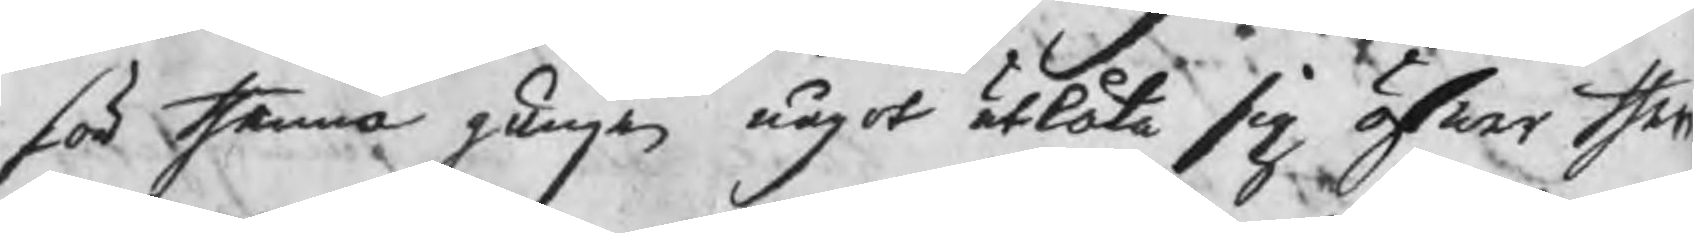för thenna gången något utlåta sig öfwer then
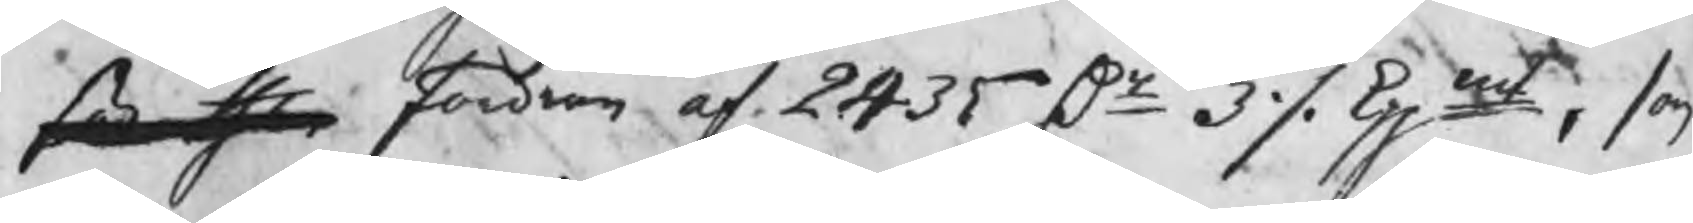för then fordran af 2435 Dr 3 ./. kppmt, som
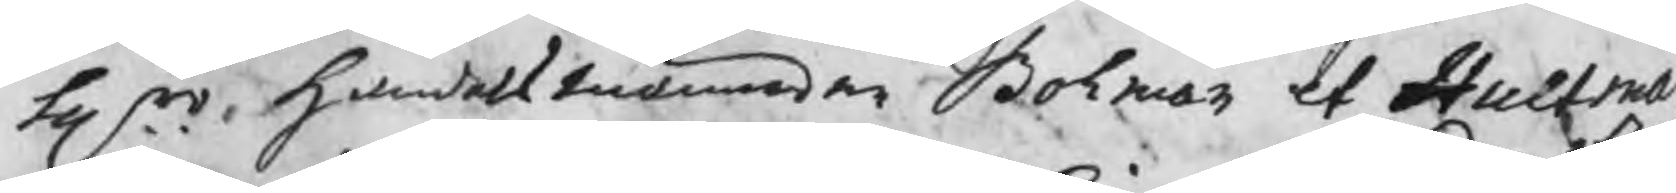Hrr handelsmännen Bohman et Hultman
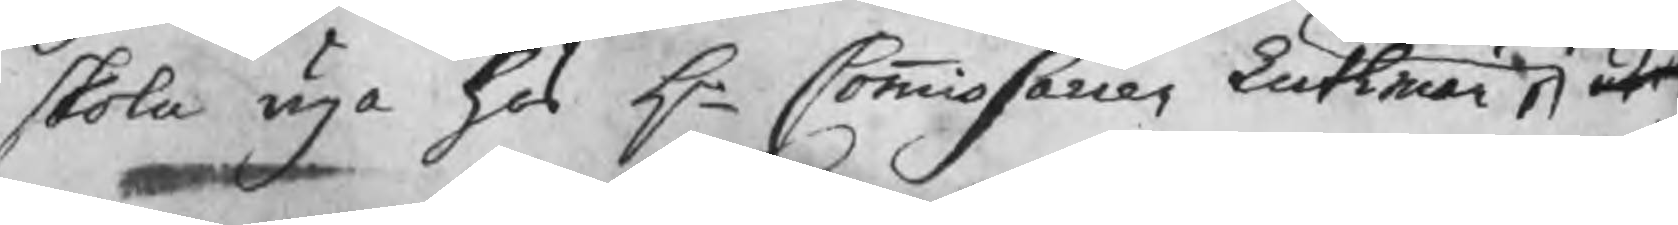skola äga hos Hr Commissarien Luthman, utr
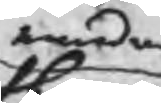emedan
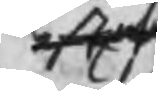efters
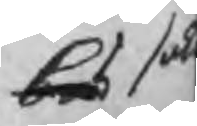bes sak
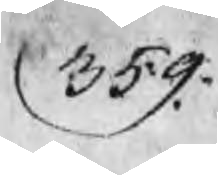359.
